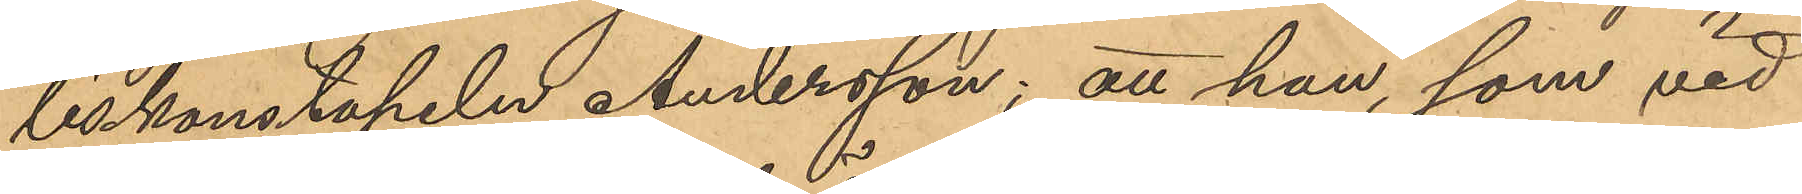liskonstapeln Andersson; att han, som vid
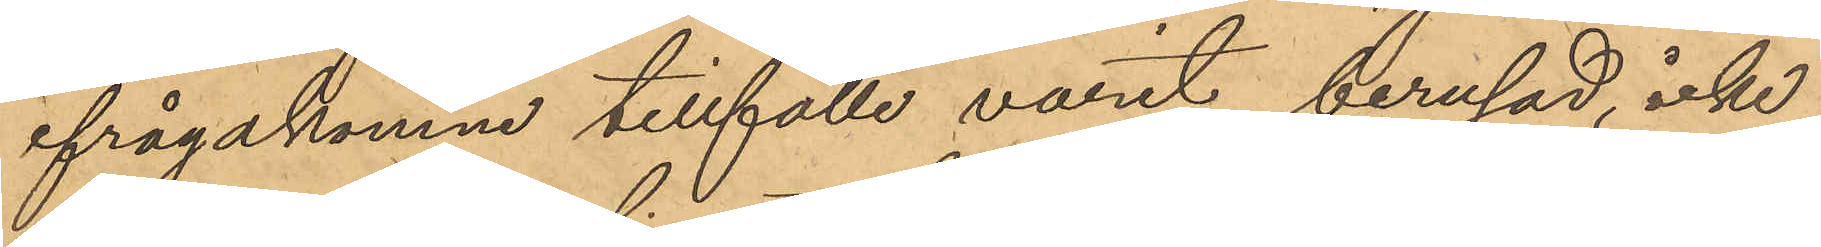ifrågakomne tillfälle varit berusad, icke
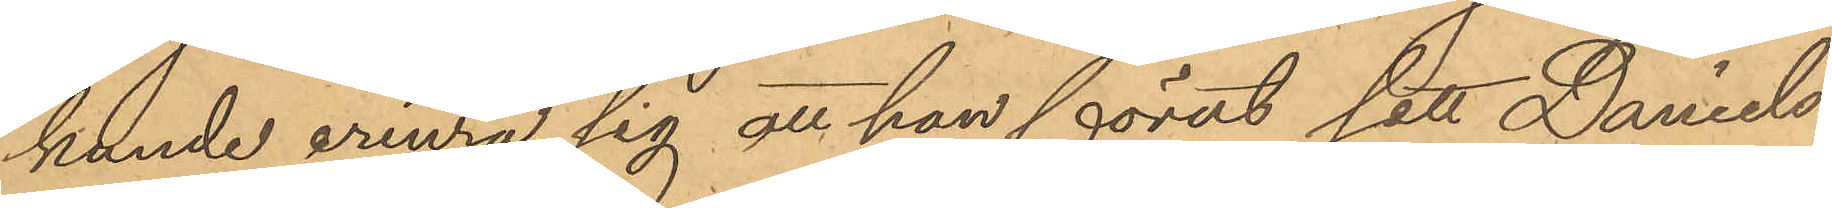kunde erinra sig att han förut sett Daniels¬
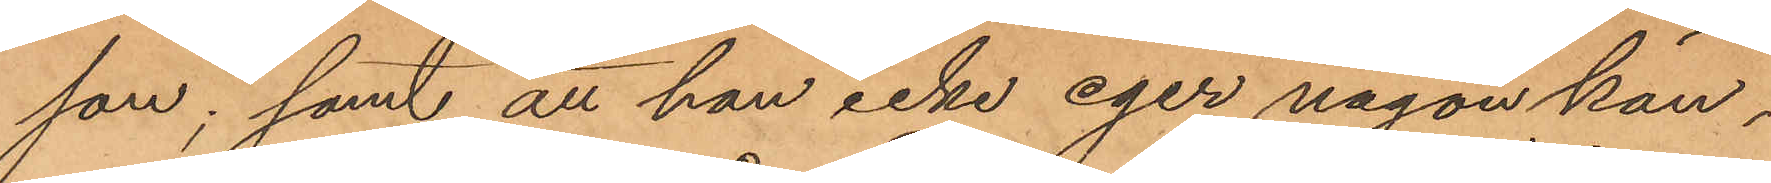son; samt att han icke eger någon kän¬
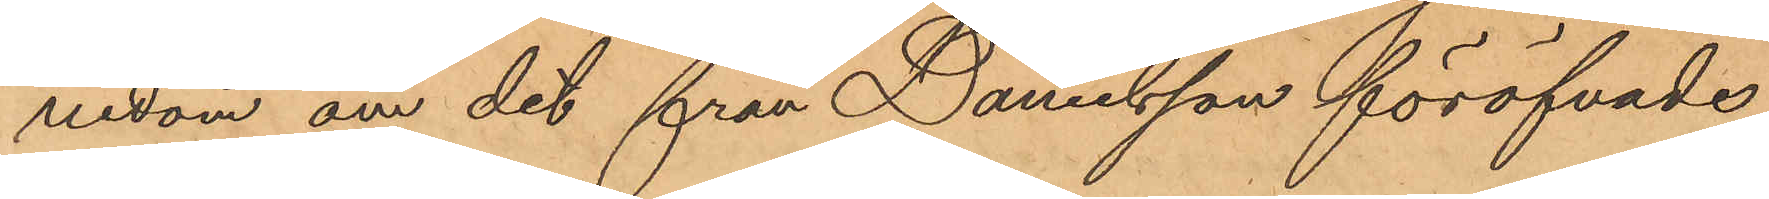nedom om det från Danielsson föröfvade
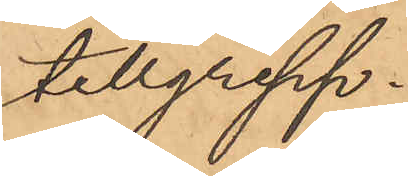tillgrepp.
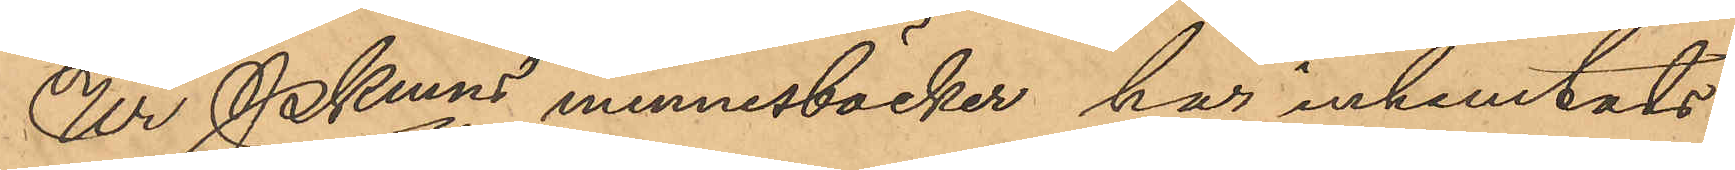Ur Pkmns minnesböcker har inhemtats
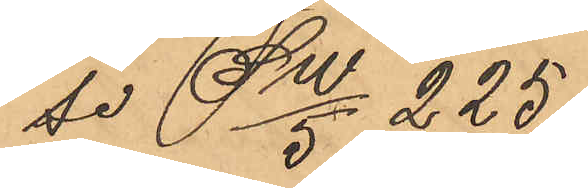se SW/5 225.
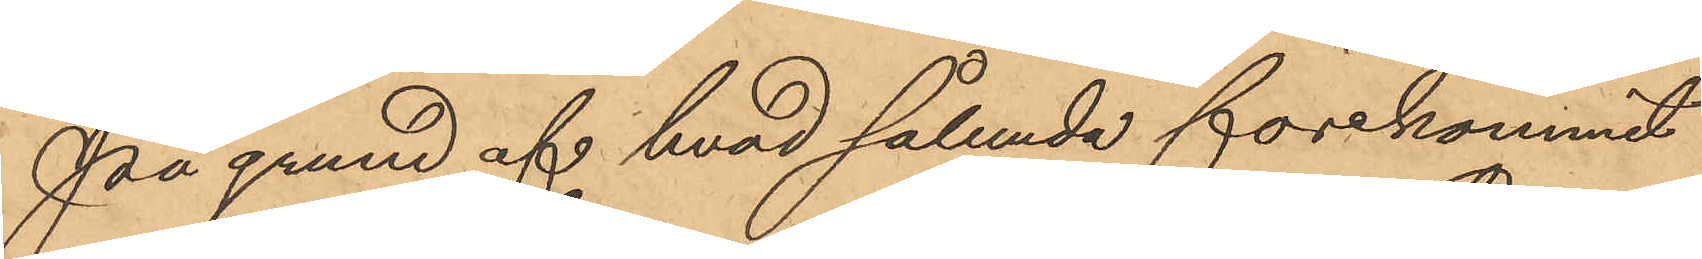På grund af hvad sålunda förekommit
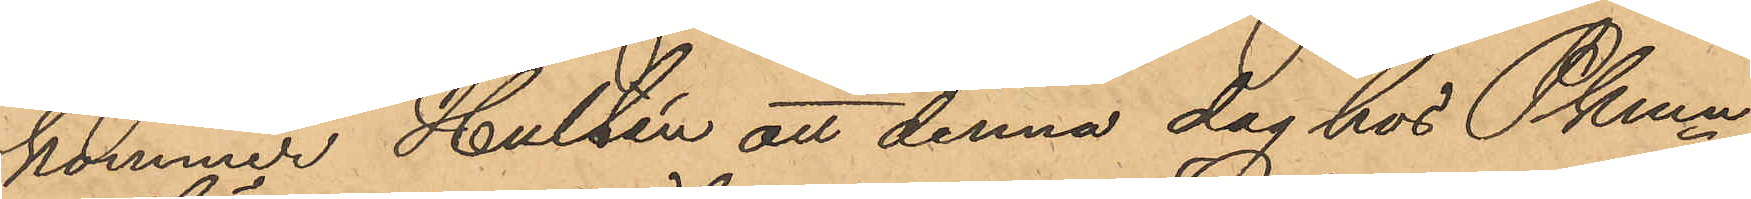kommer Hultén att denna dag hos Pkmn
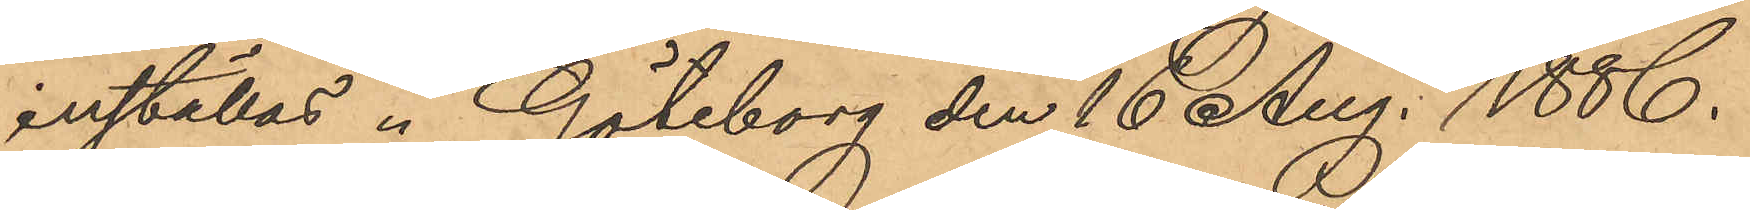inställas. Göteborg den 16 Aug. 1886.
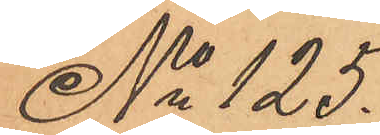No 125.
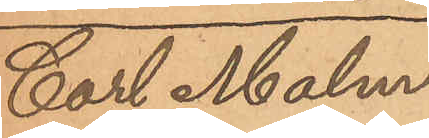Carl Malm¬
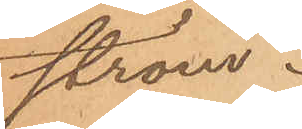ström.
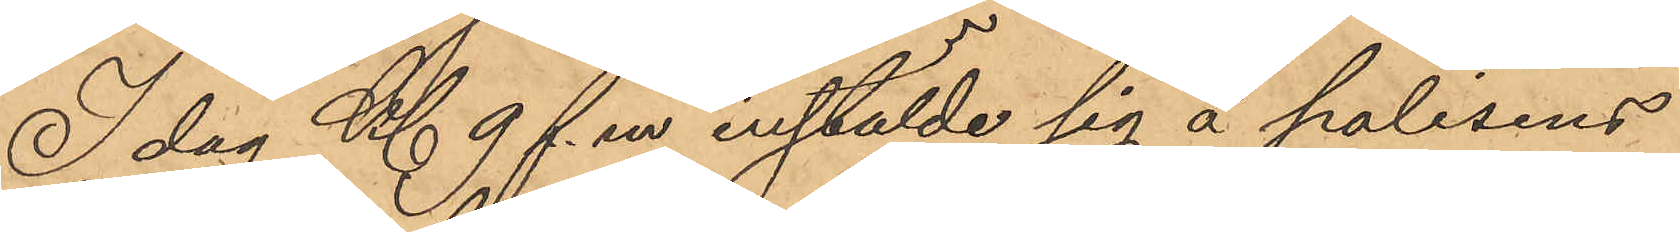I dag Kl 9 f. m instälde sig å polisens
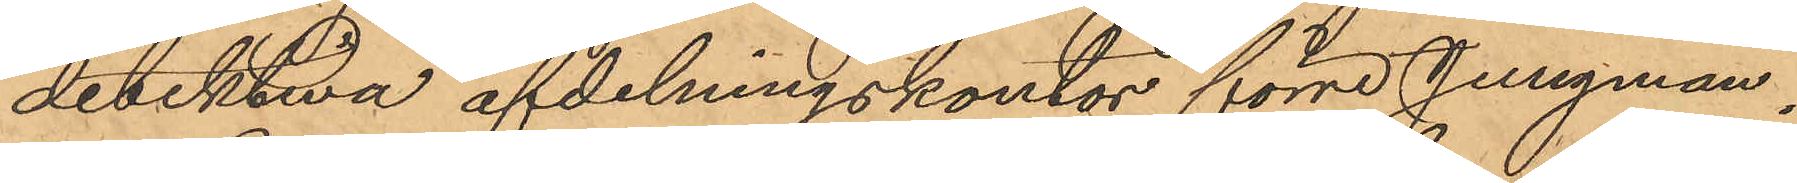detektiva afdelningskontor förre Jungman¬
